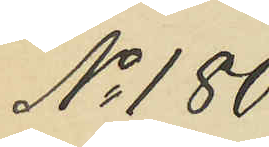No 180
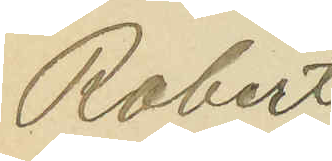Robert
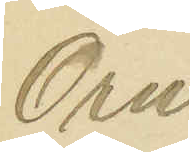Örn
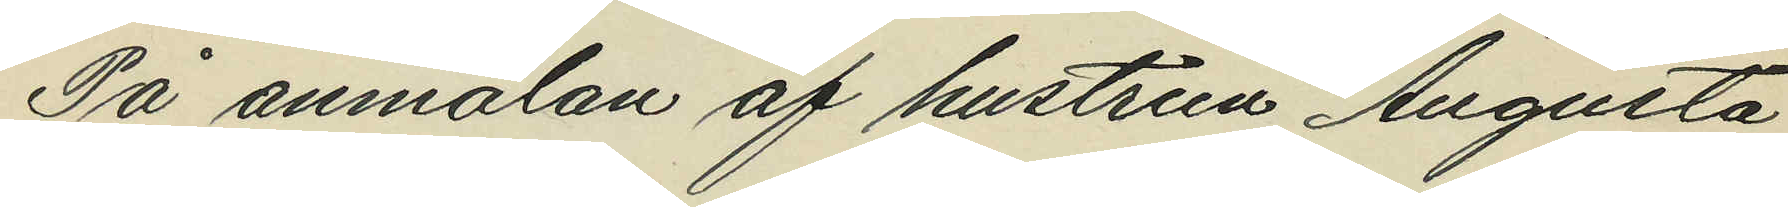På anmälan af hustrun Augusta
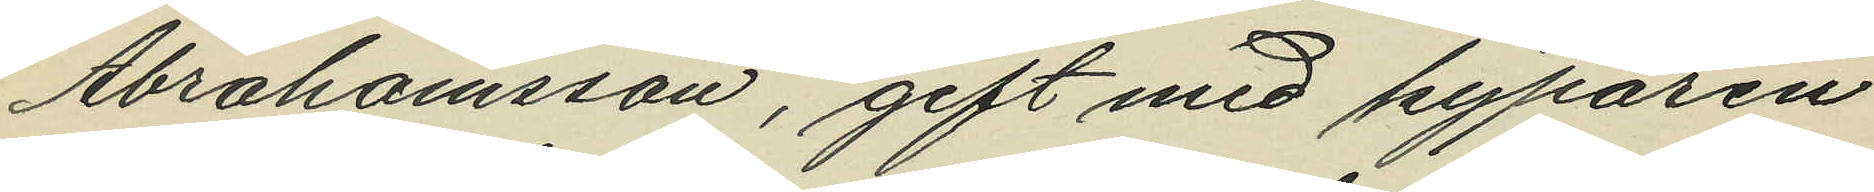Abrahamsson, gift med kyparen
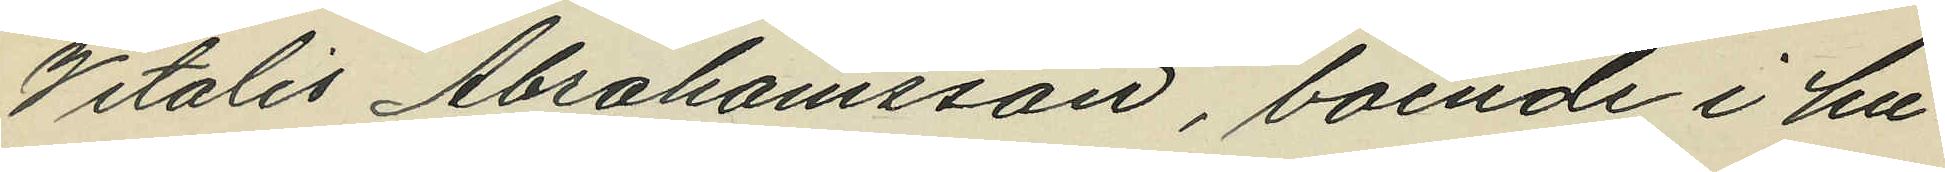Vitalis Abrahamsson, boende i hu¬
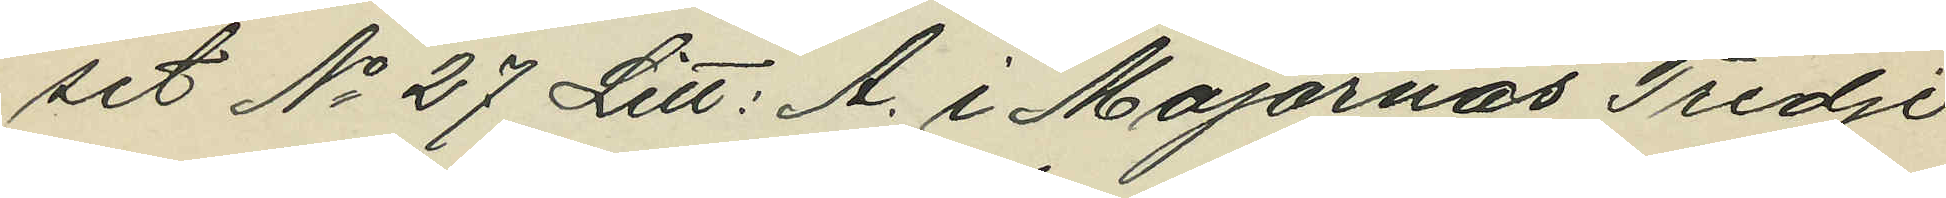set No 27 Litt. A. i Majornas Tredje
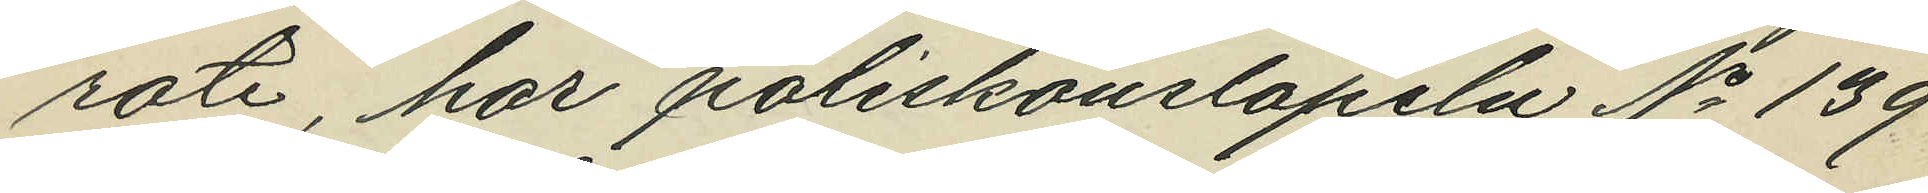rote, har poliskonslapeln No 139
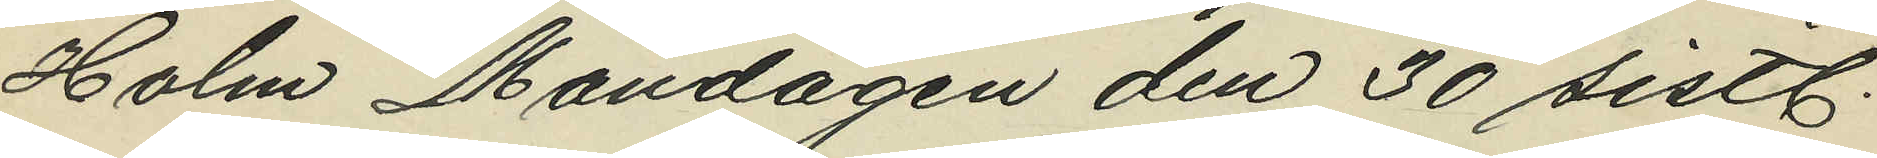Holm Måndagen den 30 sistl.
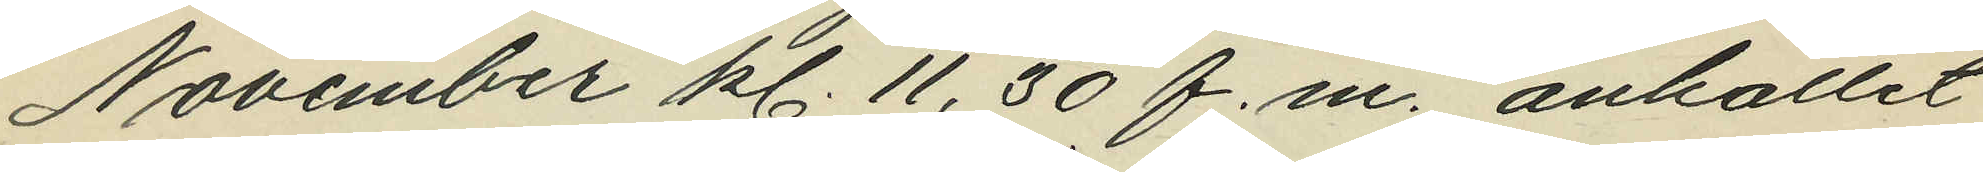November kl. 11,30 f.m. anhållit
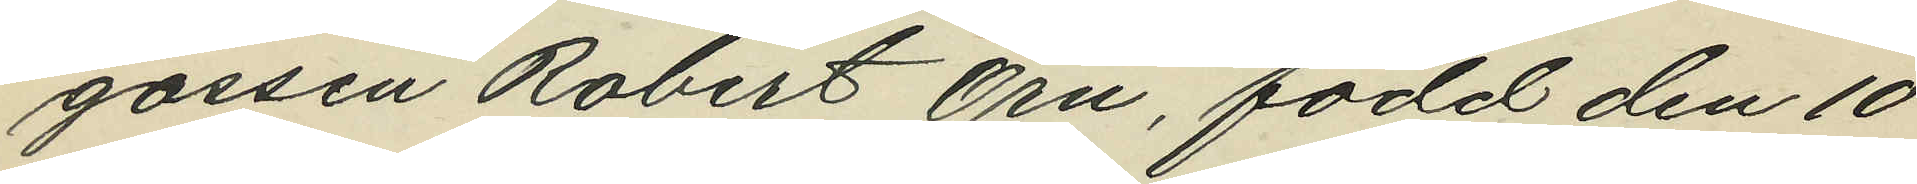gossen Robert Örn, född den 10
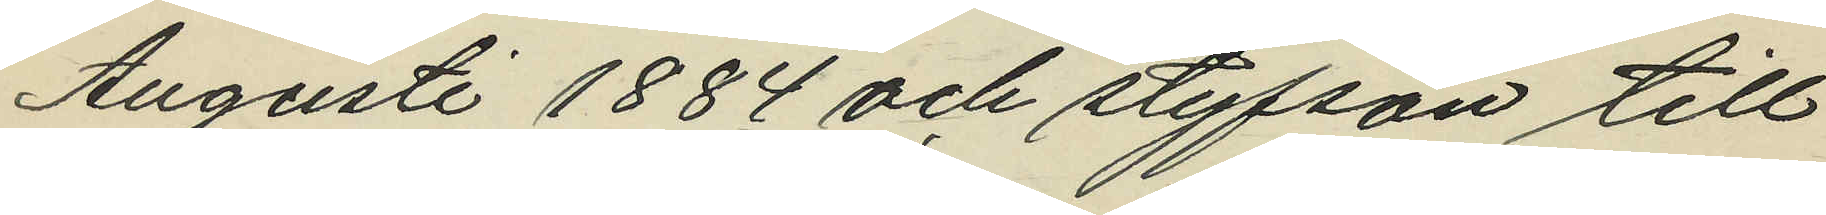Augusti 1884 och styfson till
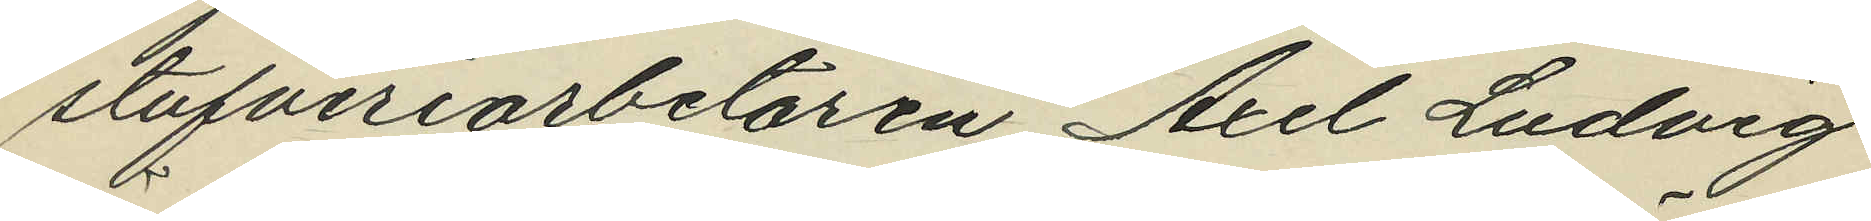stufveriarbetaren Axel Ludvig
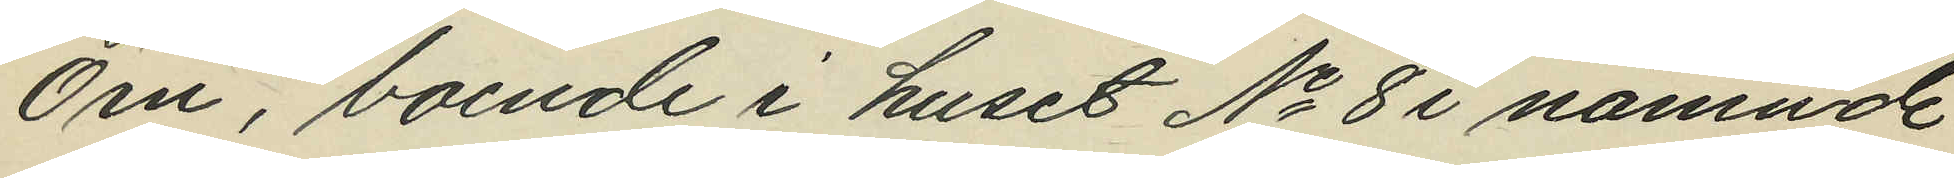Örn, boende i huset No 8 i nämnde
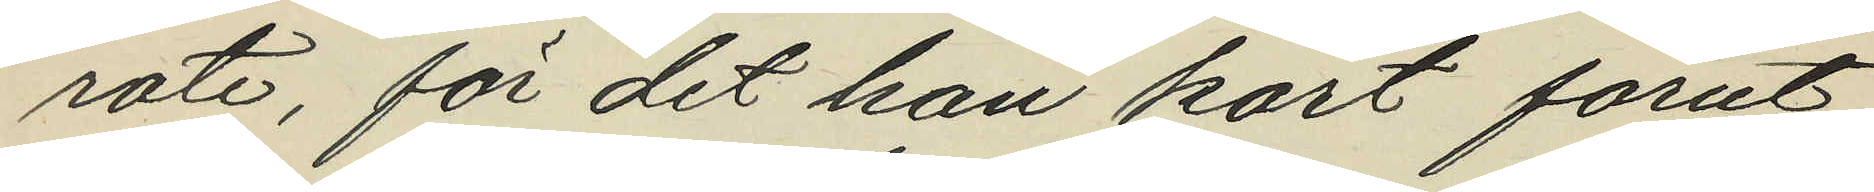rote, för det han kort förut
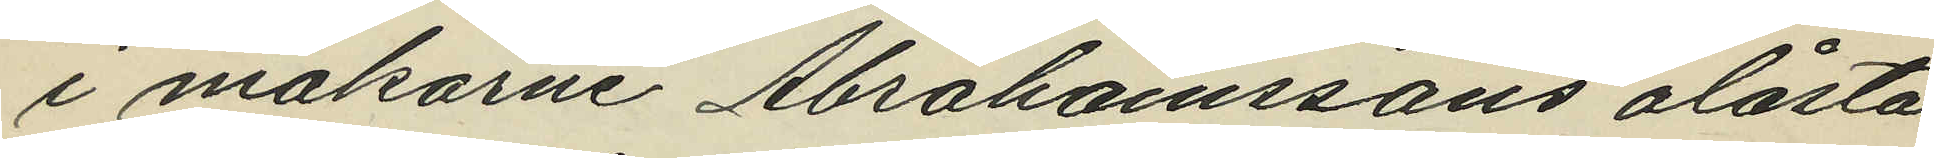i makarne Abrahamssons olåsta
